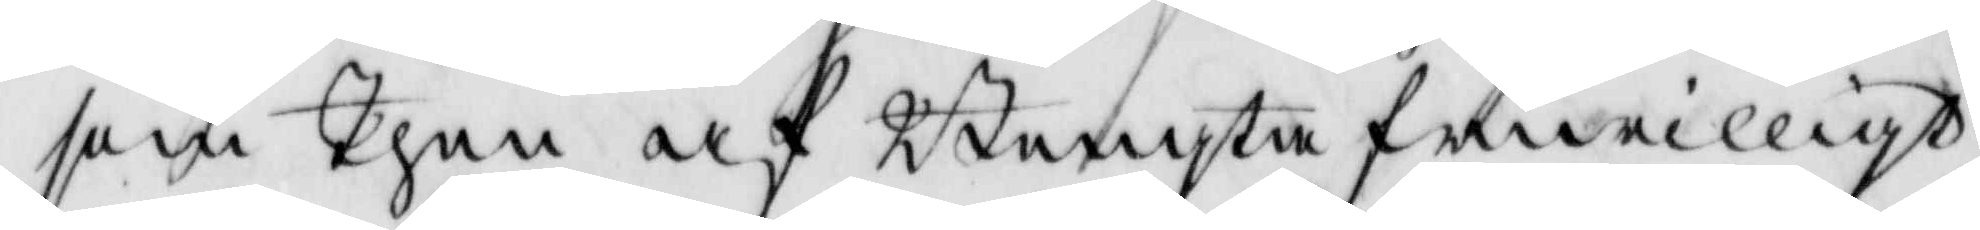som Then af Bengta friwilligt
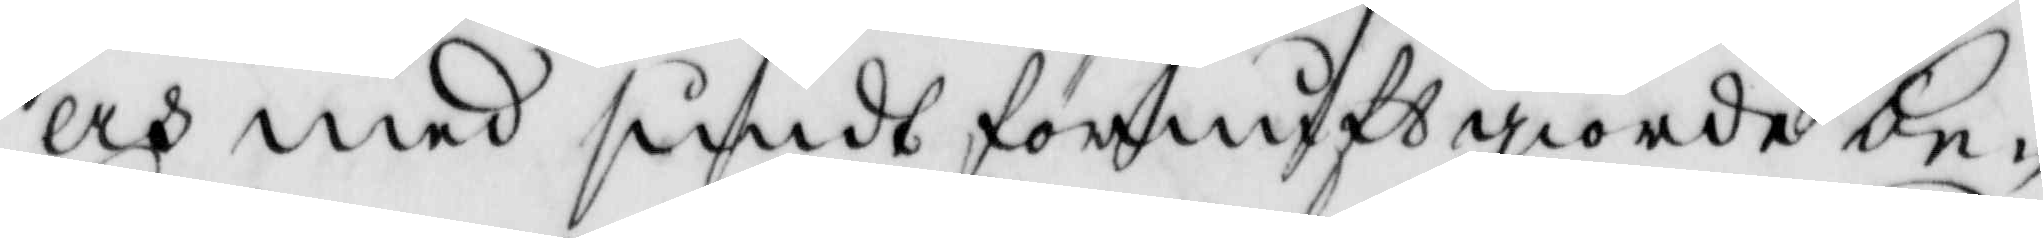och med sundt förnuft giorde be¬
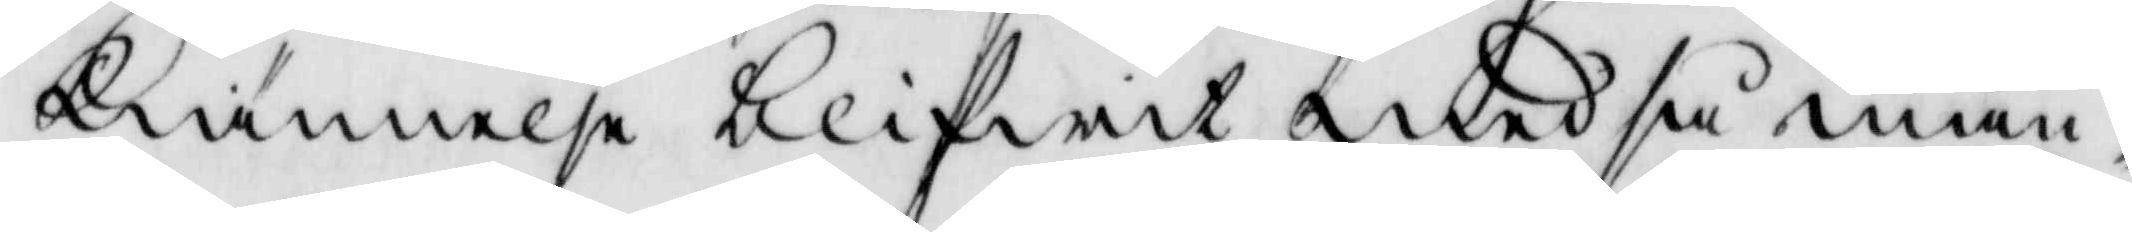kiännelse blifwit med så mån¬
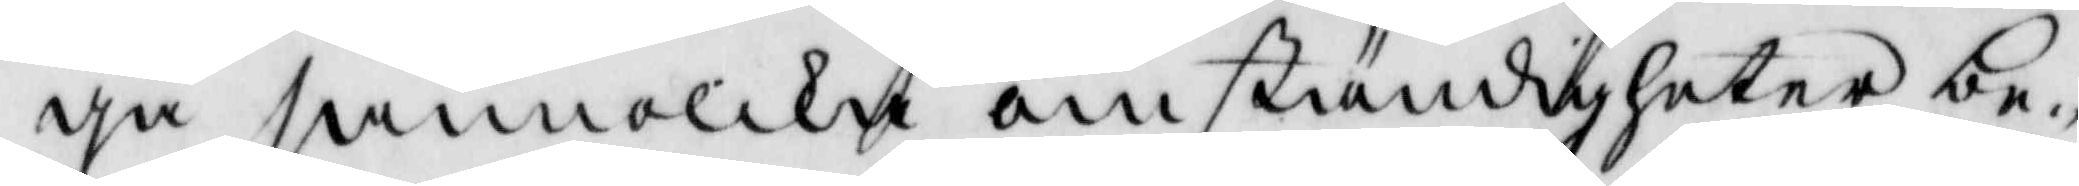ga sannolika omständigheter be¬
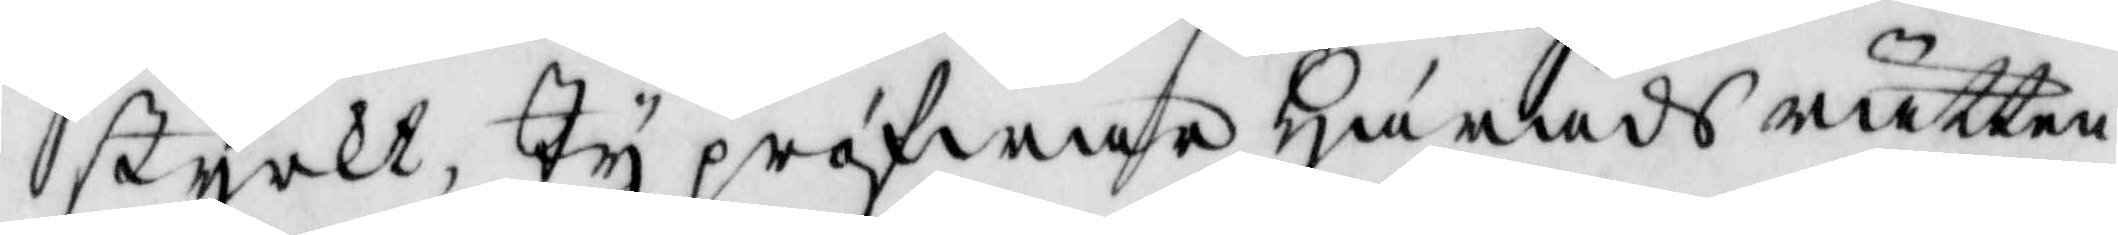styrkt, Ty pröfwar Härads rätten
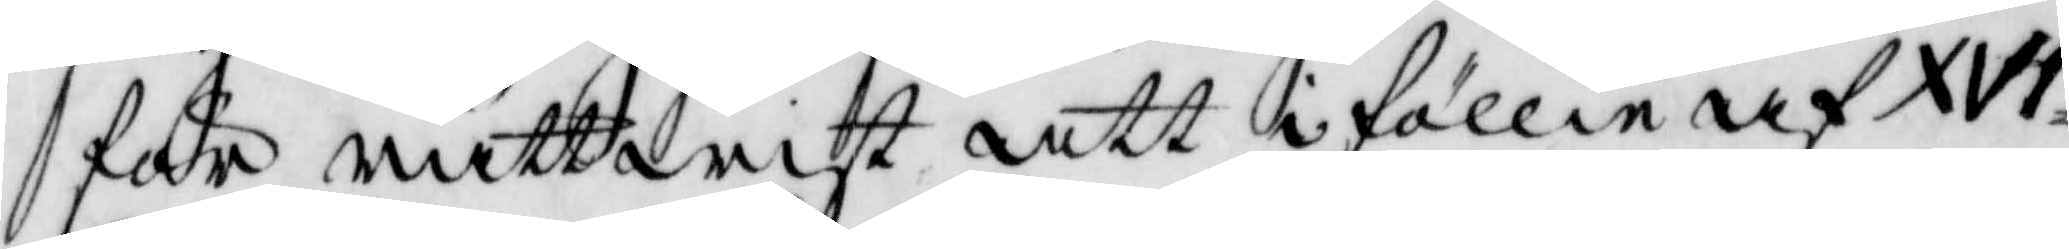för rättwist att i föllie af XVI
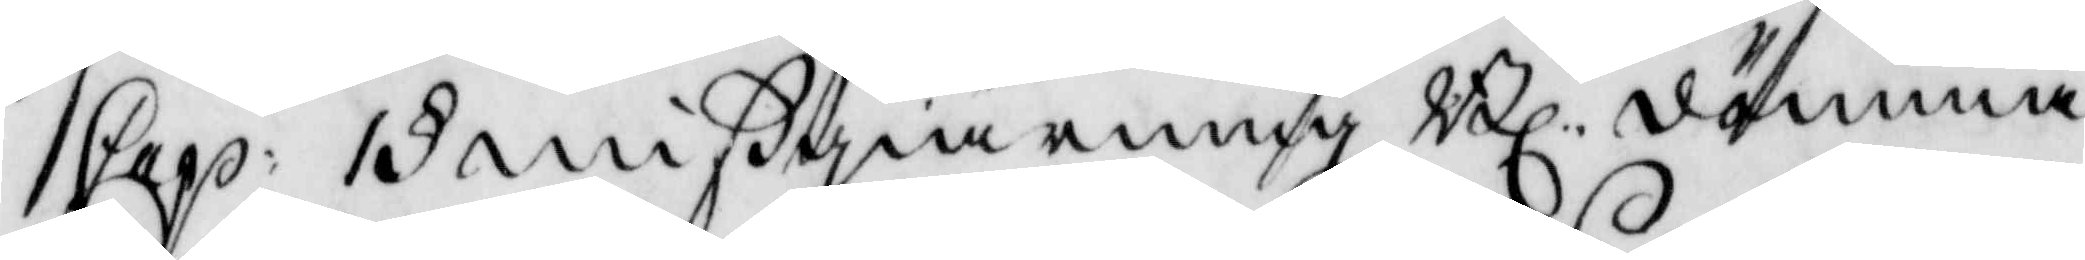Cap: 1 § mißgiärnings Bl: dömma
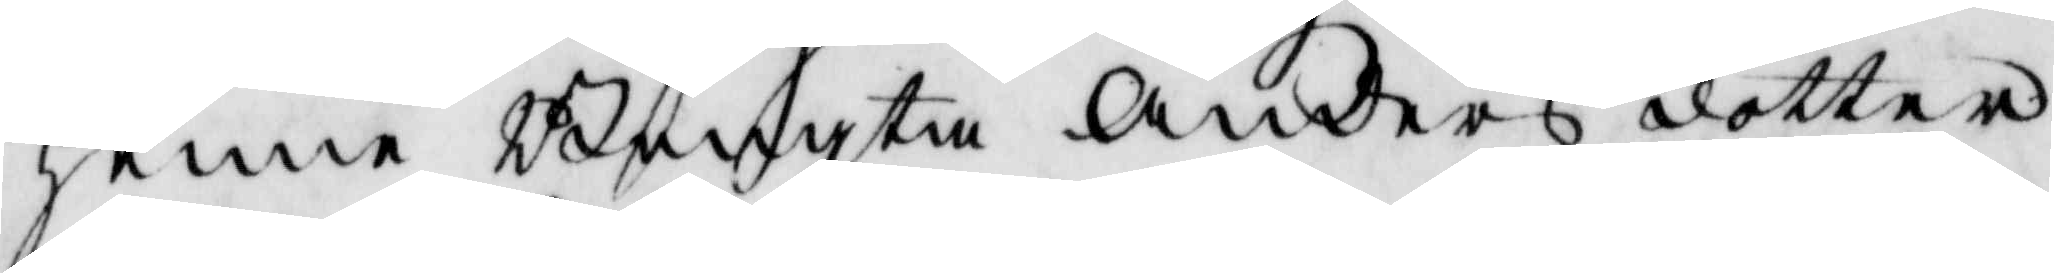henne Bengta Anders dotter
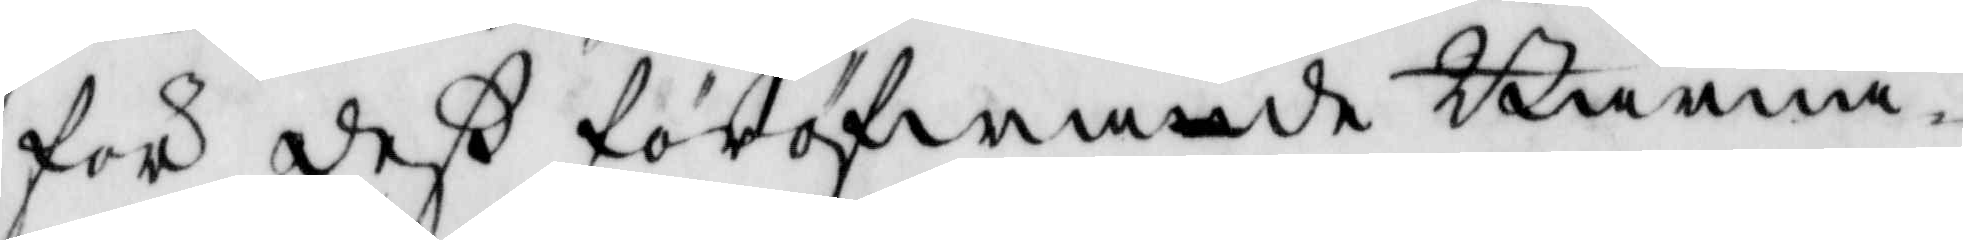för deß föröfwade Barna¬
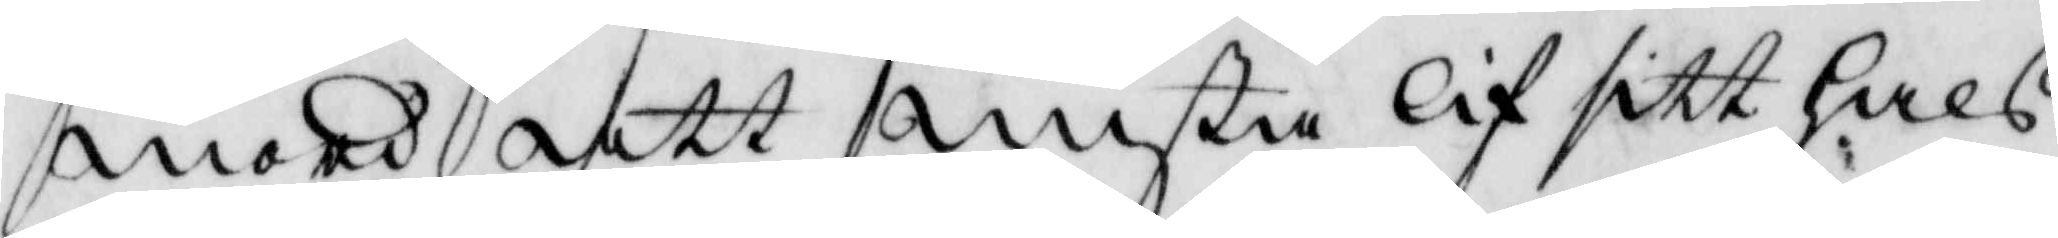mord att mista lif sitt hals¬
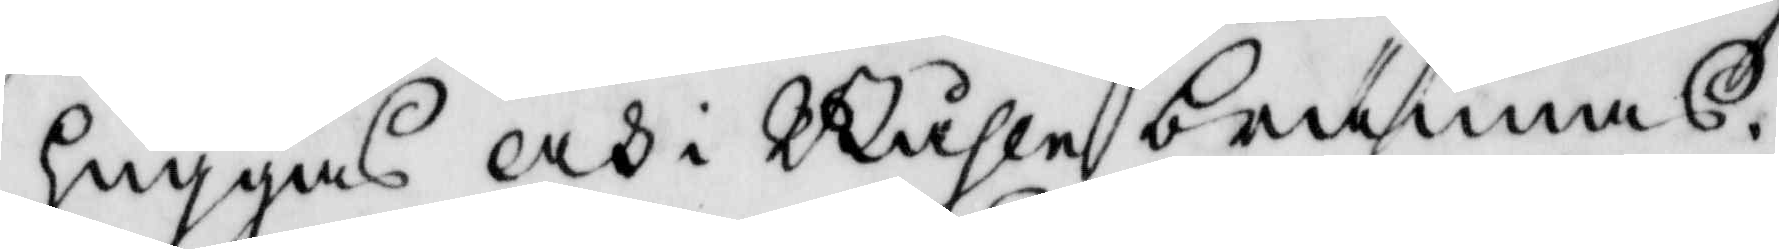huggas och i Båhle brännas.
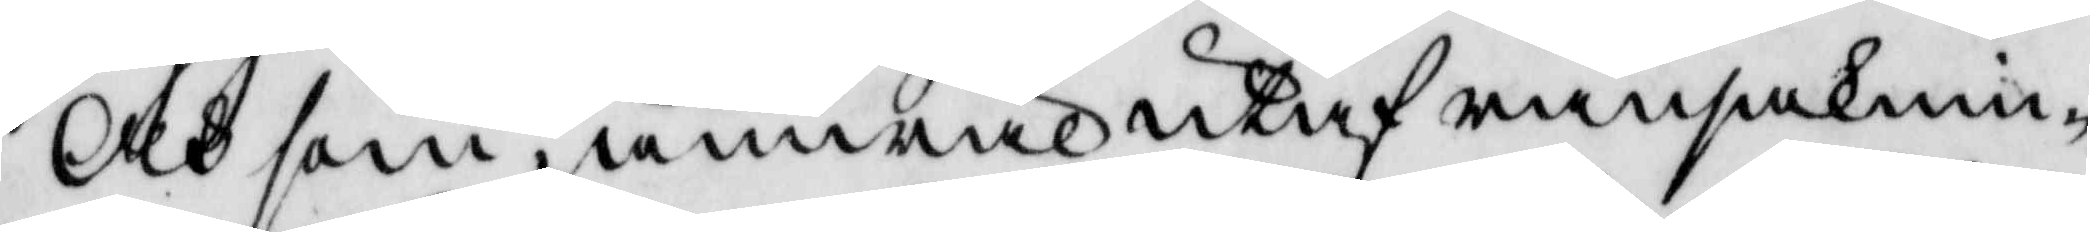och som jämwäl utaf ransaknin¬
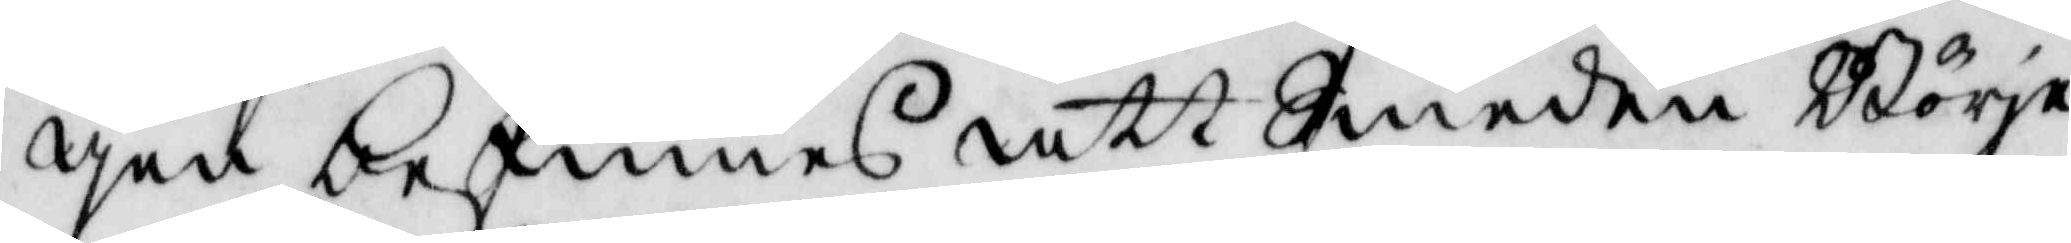gen befinnes att Smeden Börje
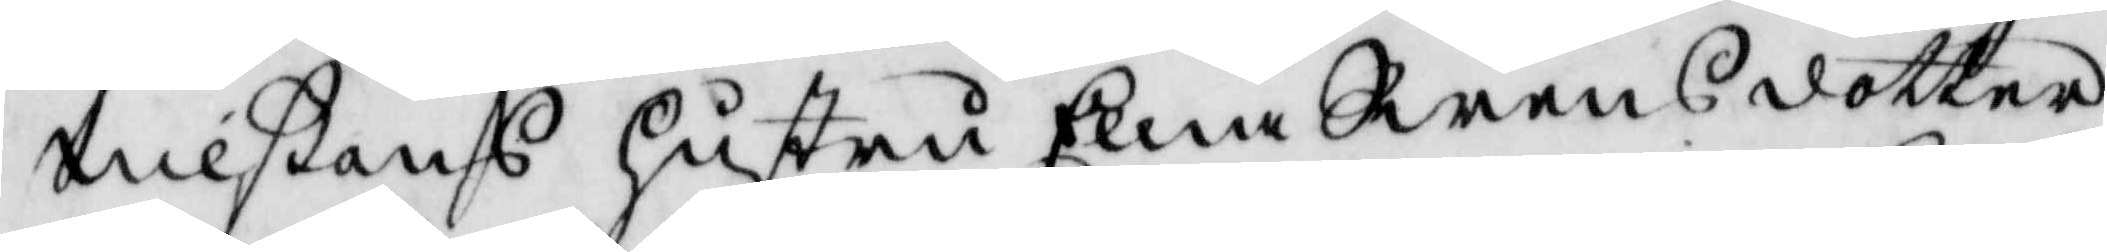nilßons hustru Elna Swensdotter
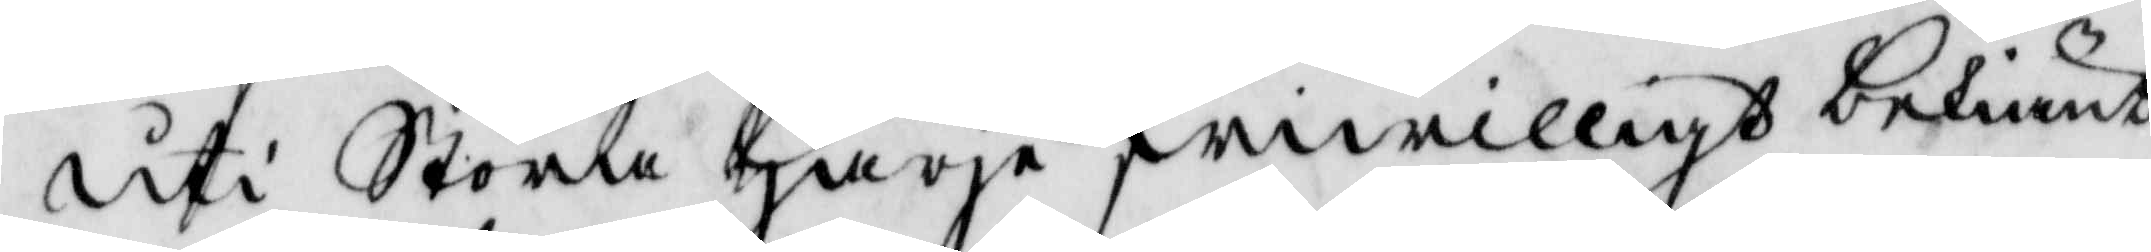uti Stora Harja friwilligen bekiändt
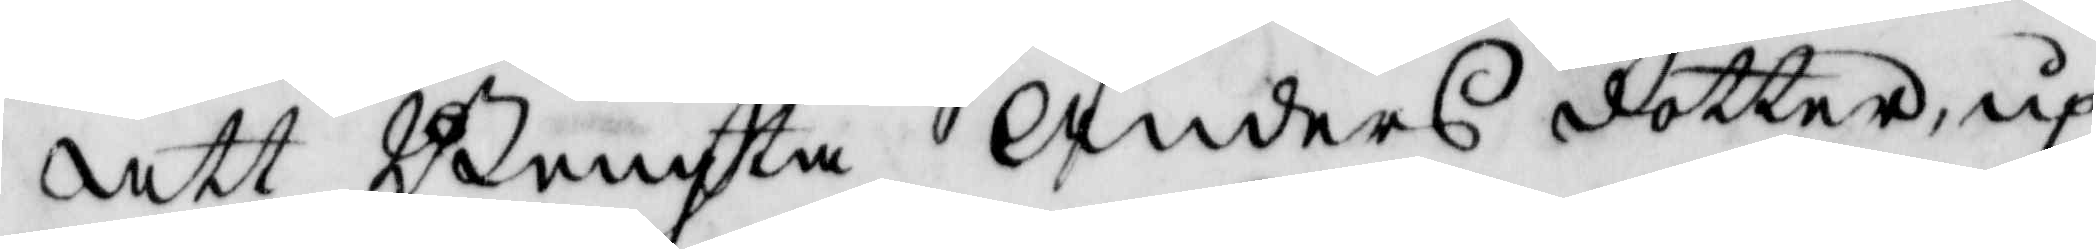att Bengta Anders dotter, up¬
